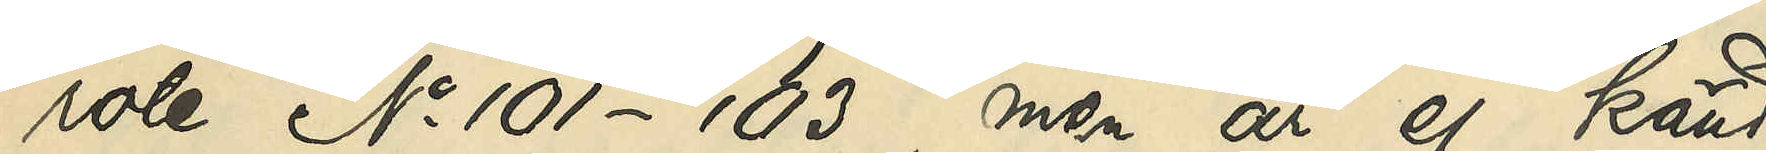rote No 101-103, men är ej känd
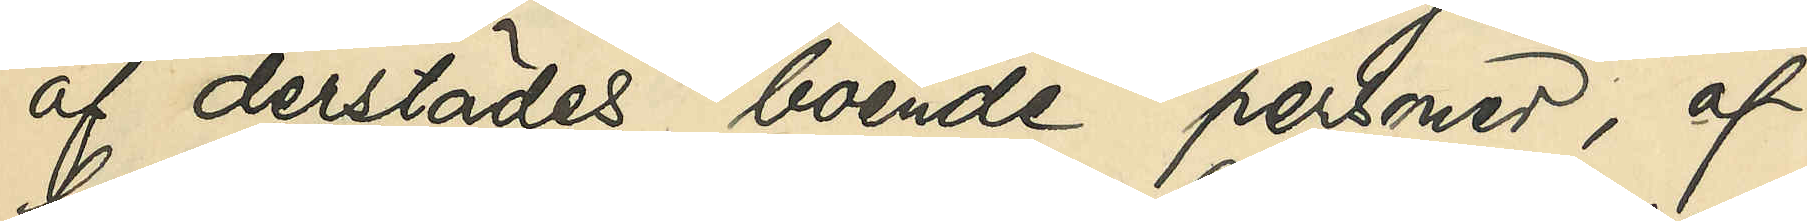af derstädes boende personer, af
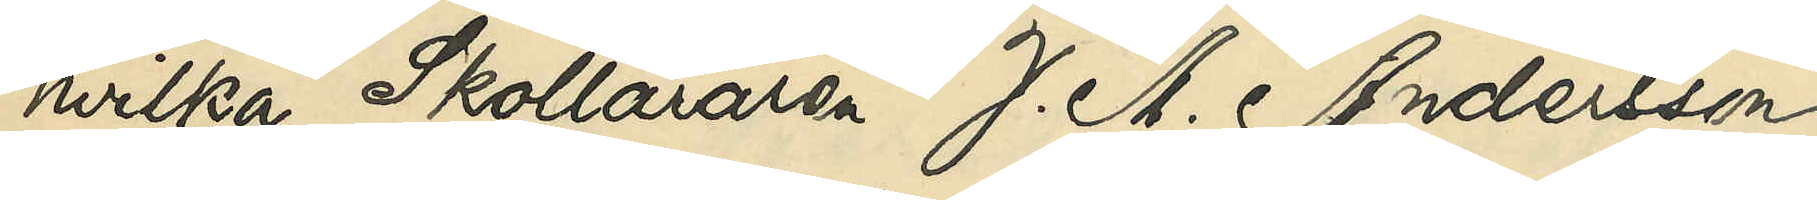hvilka Skolläraren J. A. Andersson,
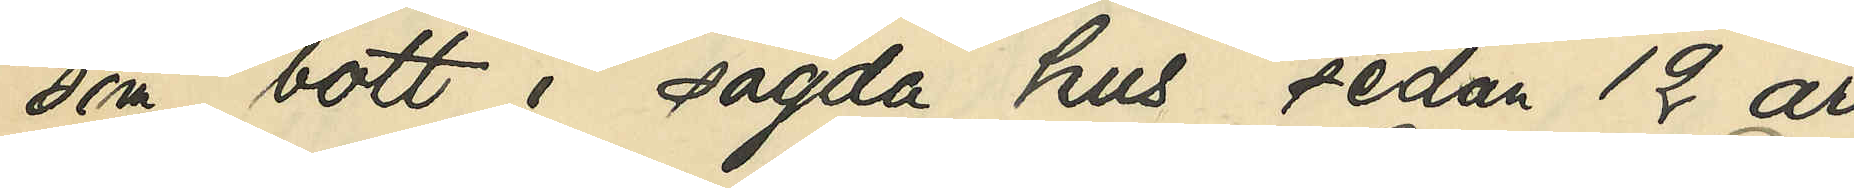som bott i sagda hus sedan 12 år
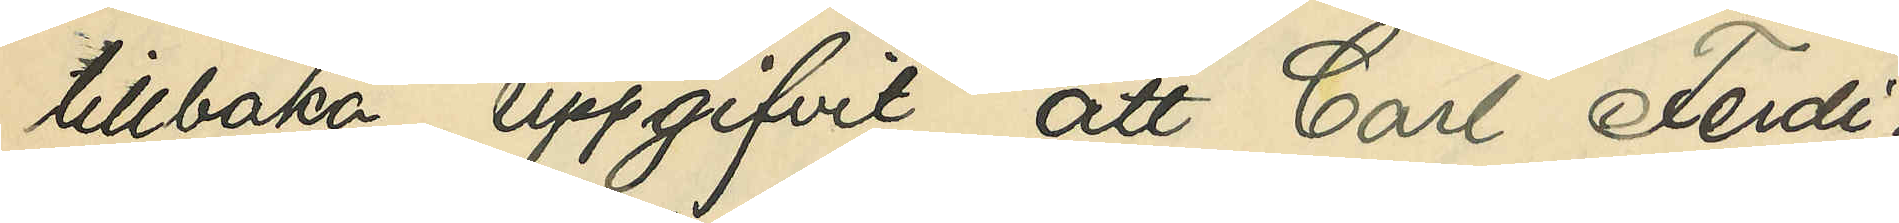tillbaka, uppgifivt att Carl Ferdi¬
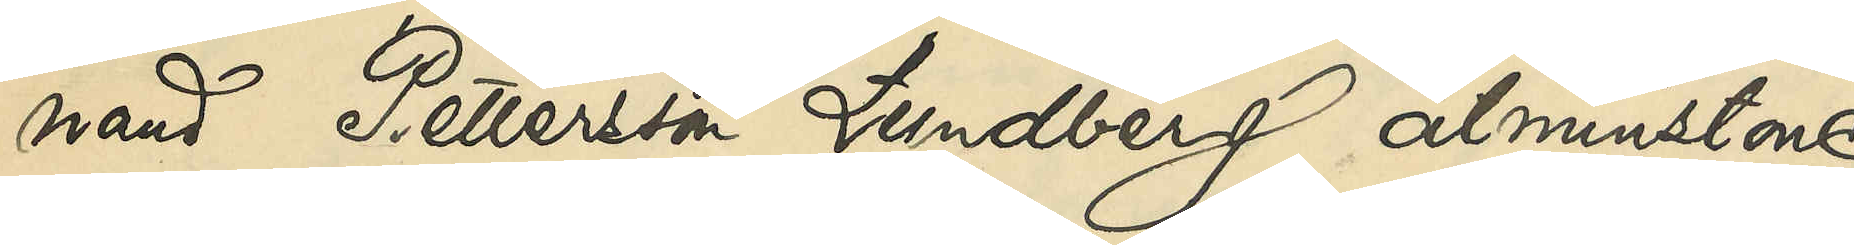nand Pettersson Lundberg åtminstone
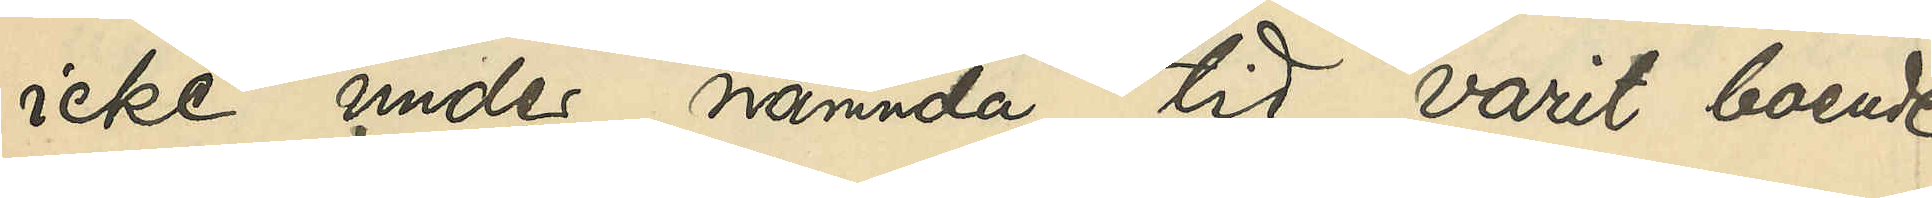icke under nämnda tid varit boende
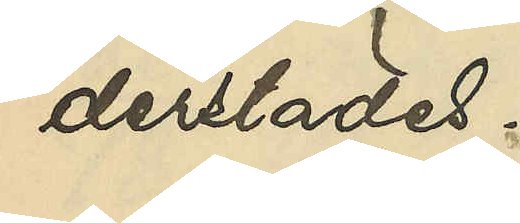derstädes.
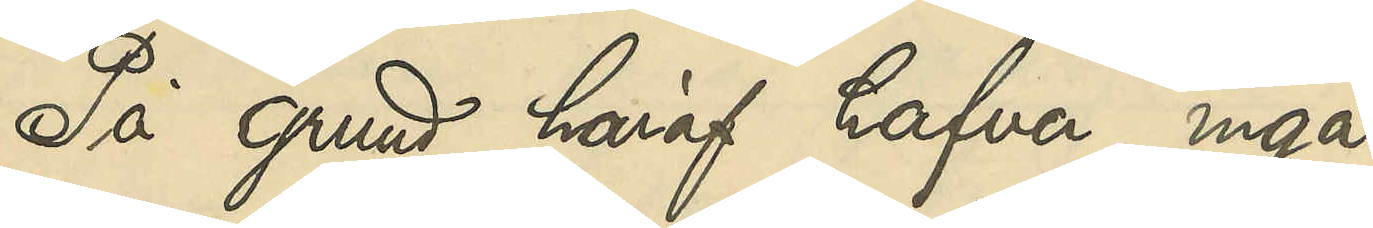På grund haraf hafva inga
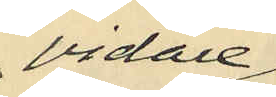vidare
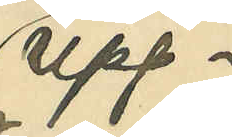upp¬
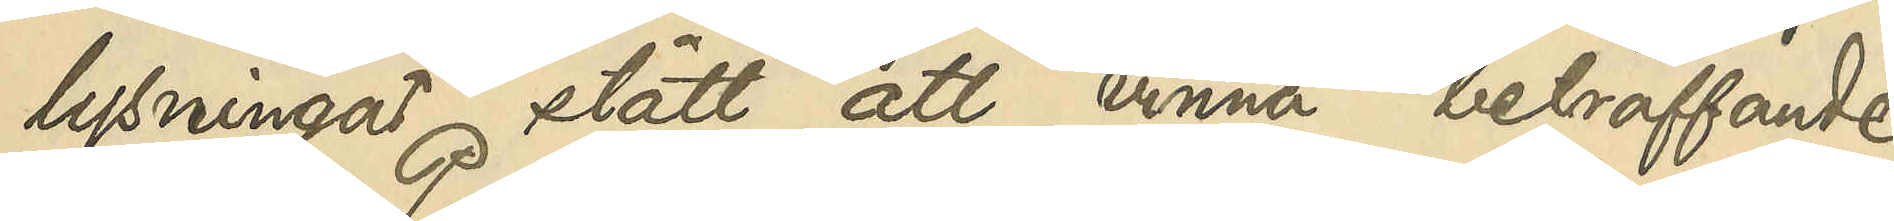lysningar stått att vinna beträffande
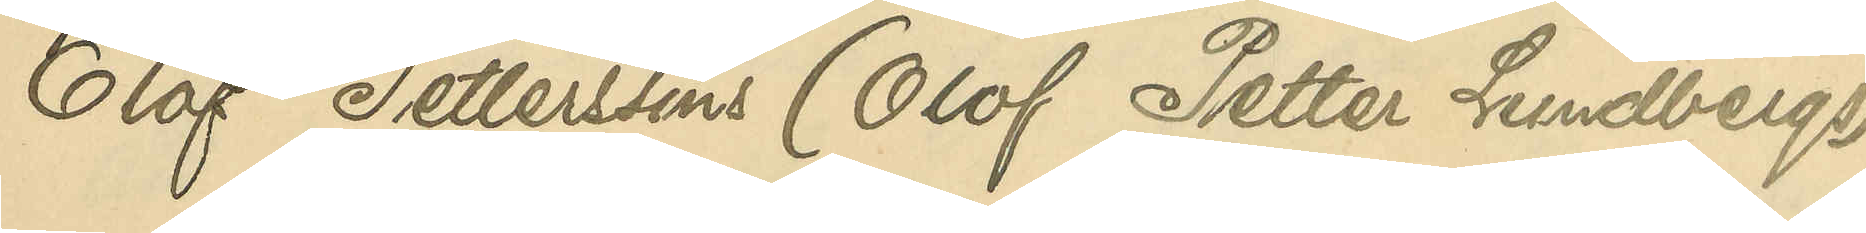Olof Petterssons (Olof Petter Lundbergs)
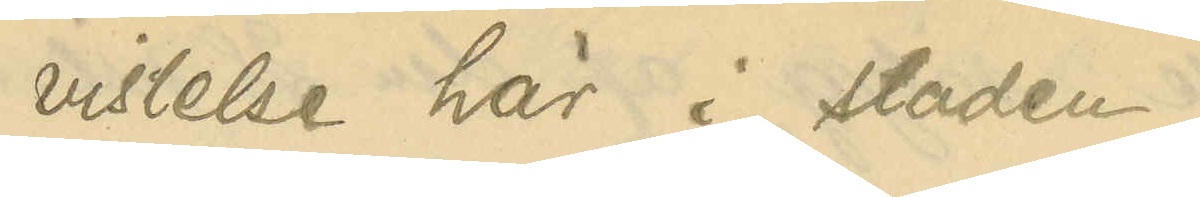vistelse här i staden.
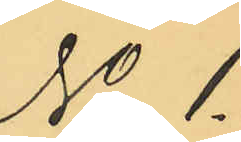No 1
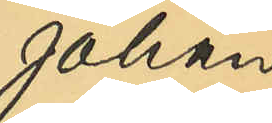Johan
